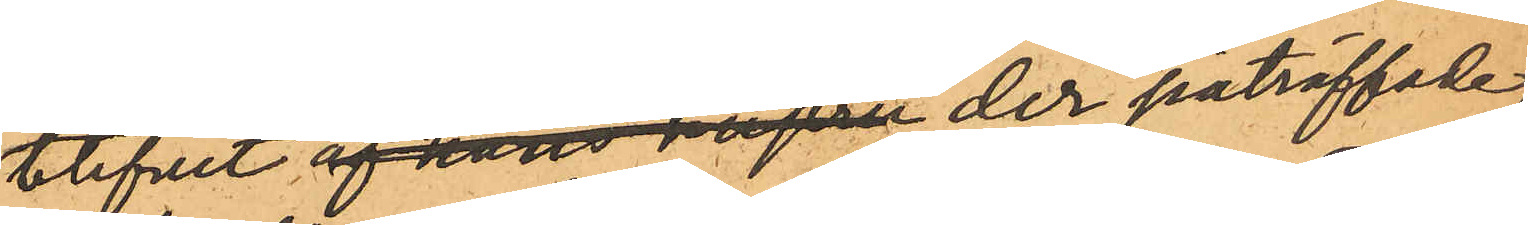blifvit af hans hustru der påträffade,
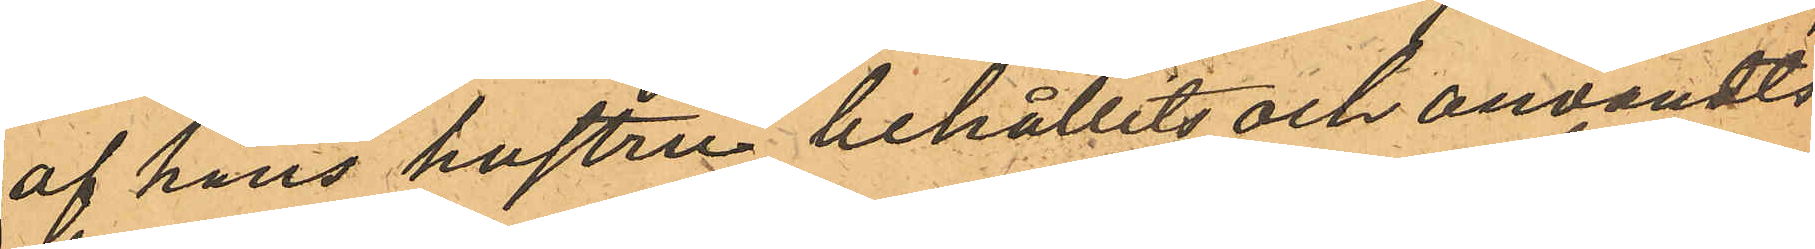af hans hustru behållits och användts
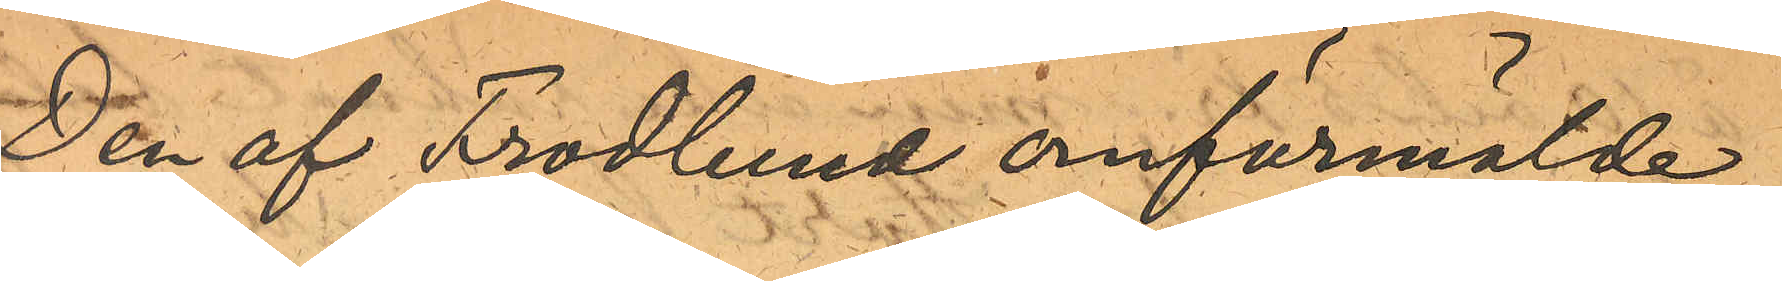Den af Frodlund omförmälde
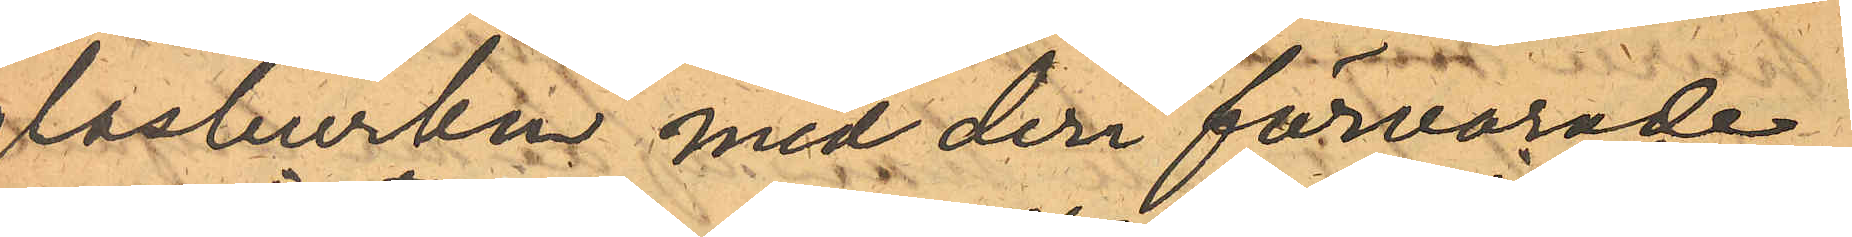glasburken med deri förvarade
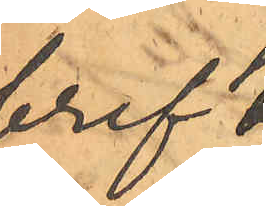bref
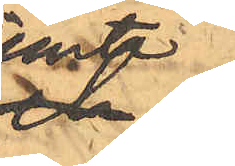jemte
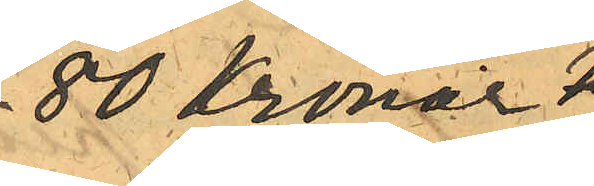780 Kronor
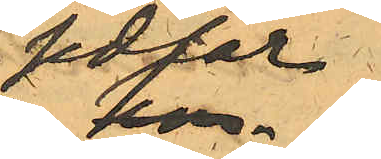i sedlar
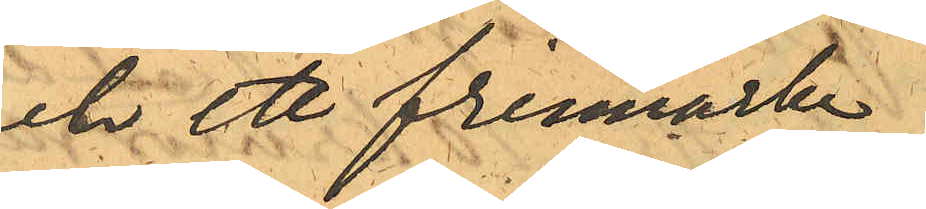och ett frimärke
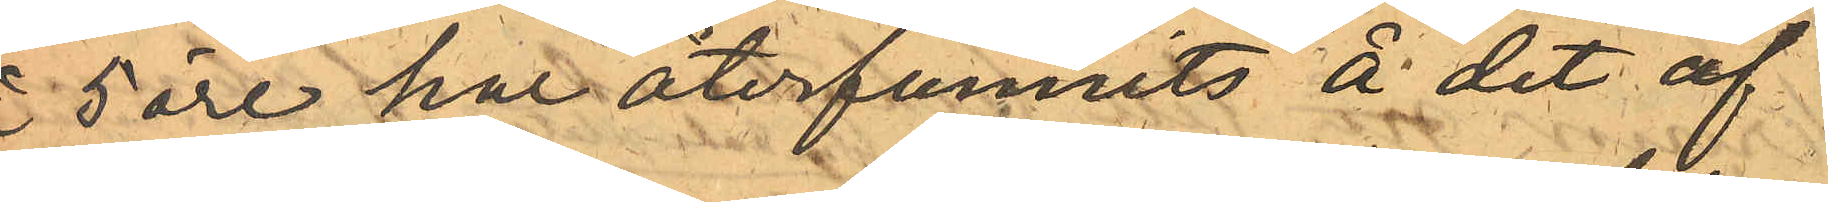å 5 öre har återfunnits å det af
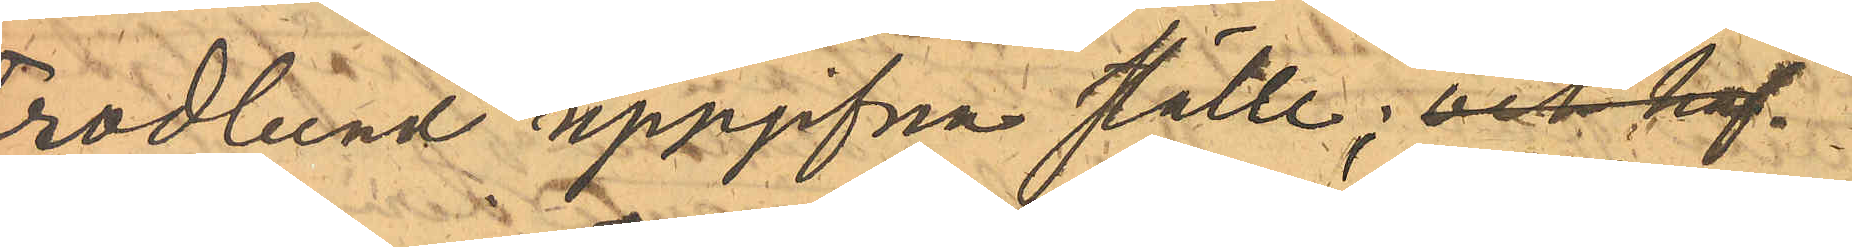Frodlund uppgifna ställe; och haf¬
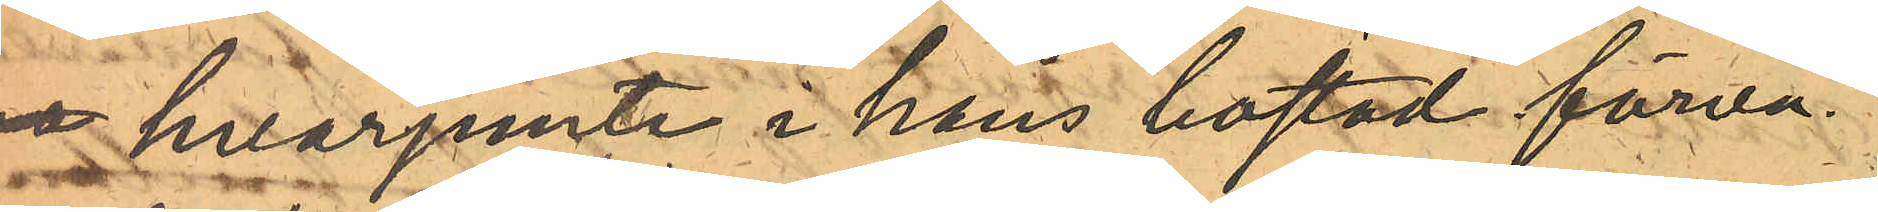va hvarjemte i hans bostad förva¬
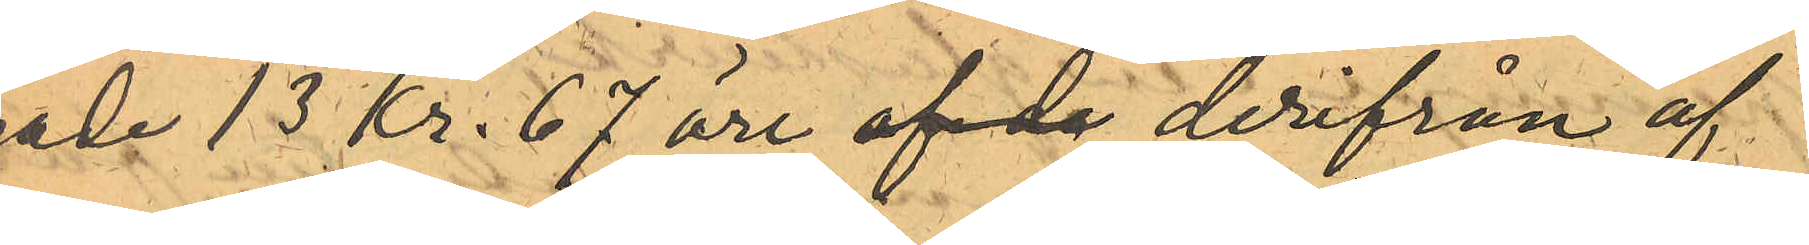rade 13 kr. 67 öre af de derifrån af¬
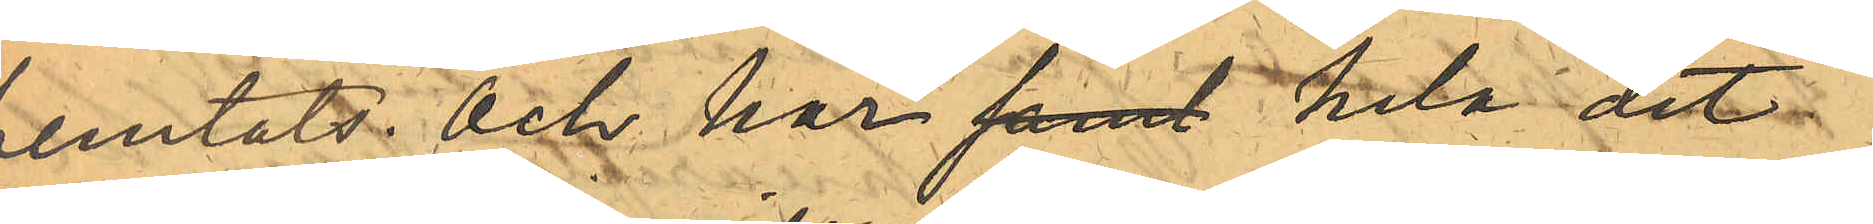hemtats och har samt hela det
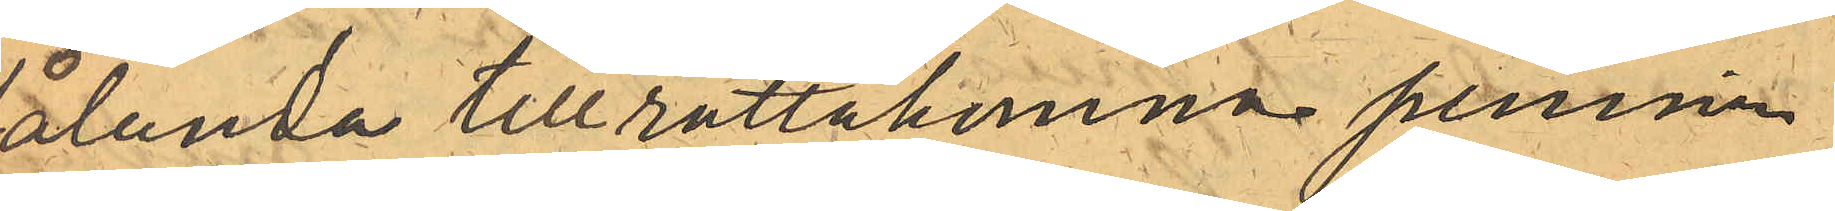sålunda tillrättakomna pennin¬
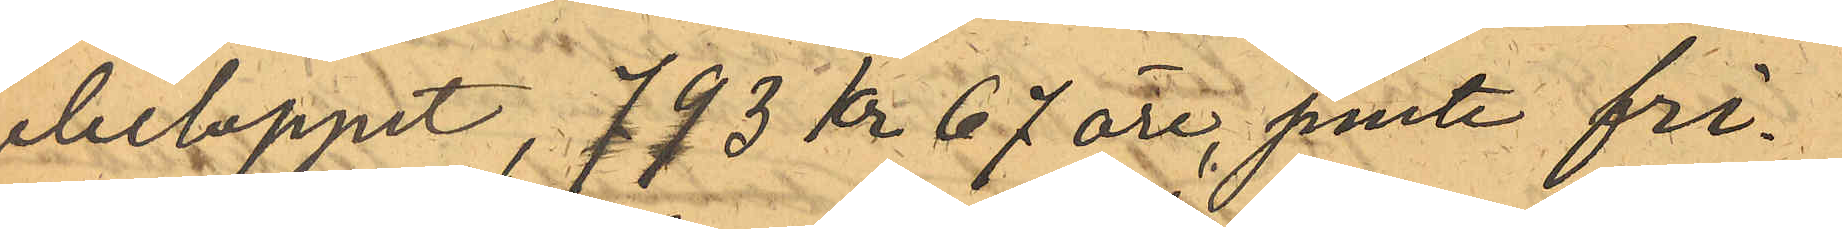gebeloppet, 793 Kr 67 öre, jemte fri¬
